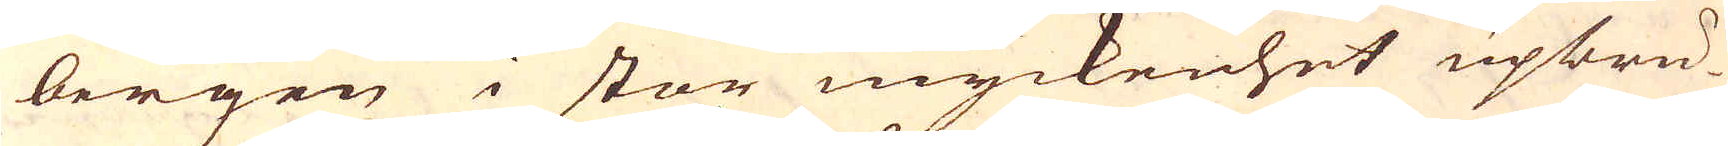bergen i stor myckenhet upbru-
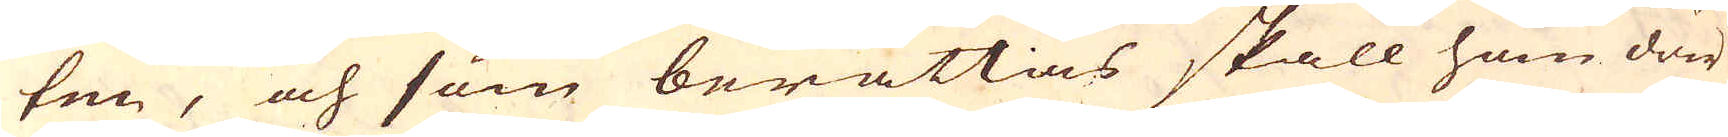ten, och som berättas skall hon där
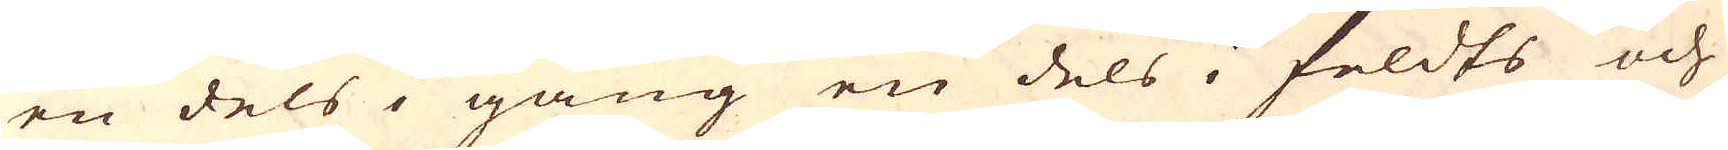en dels i gång en dels i feldts och
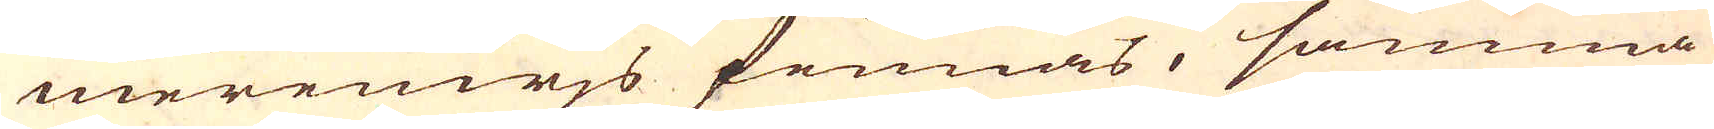merenwjs finnas, samma
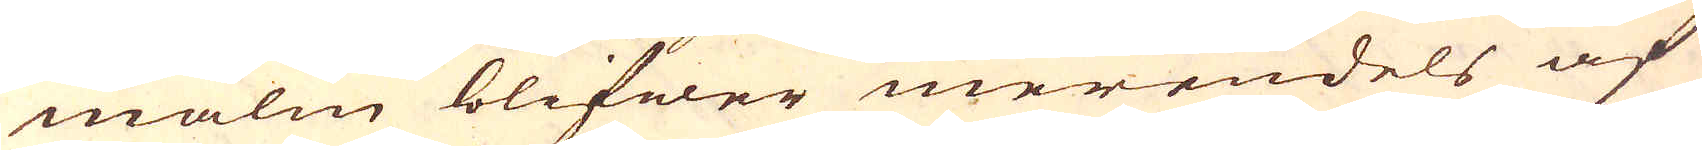malm blifwer merendels af
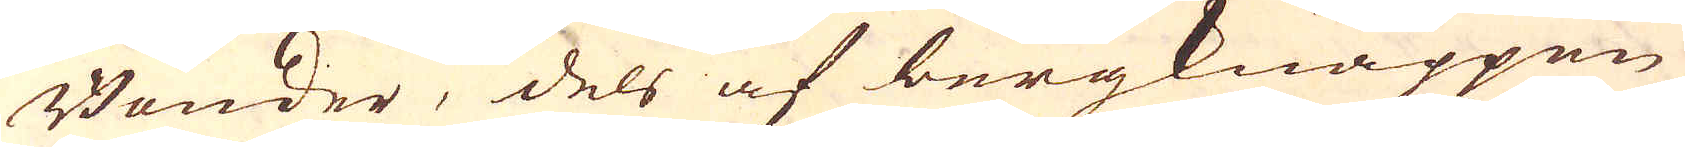Bönder, dels af bergknappen
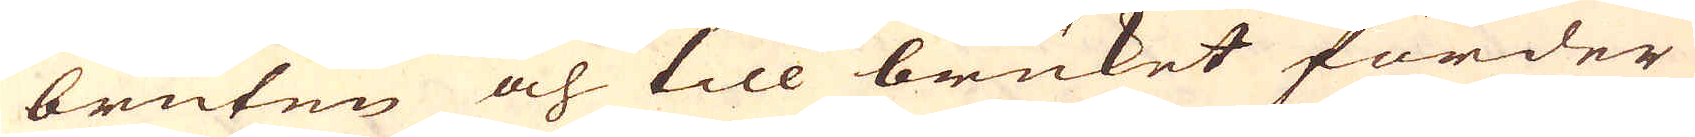bruten och till bruket förder
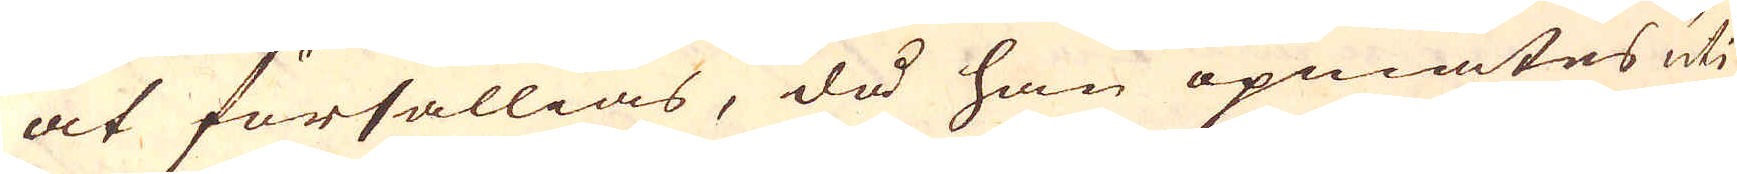at försällias, då han opmätes uti
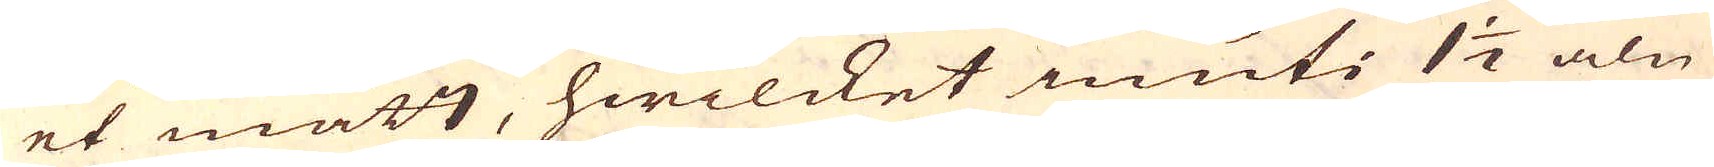et mått, hwilcket inuti 1 1/2 aln
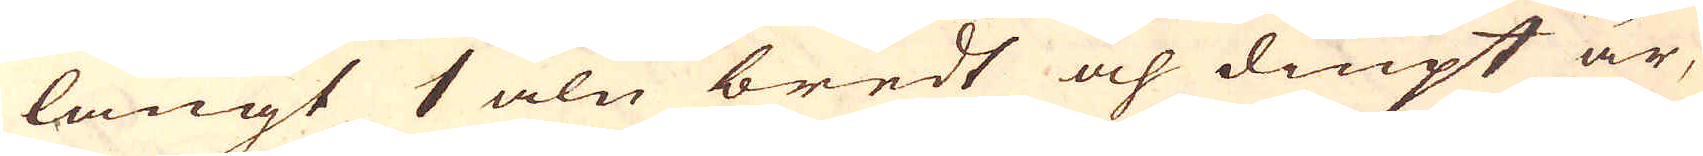långt 1 aln bredt och diupt är,
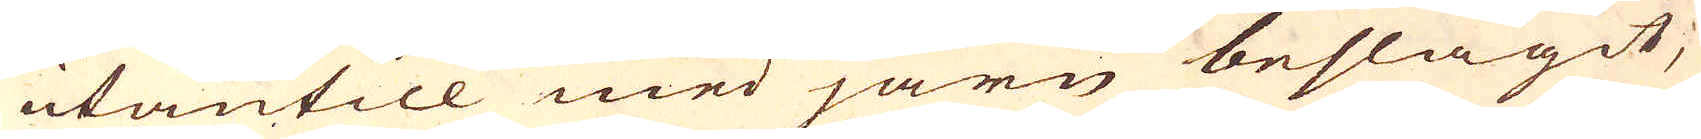utantill med järn beslagit,
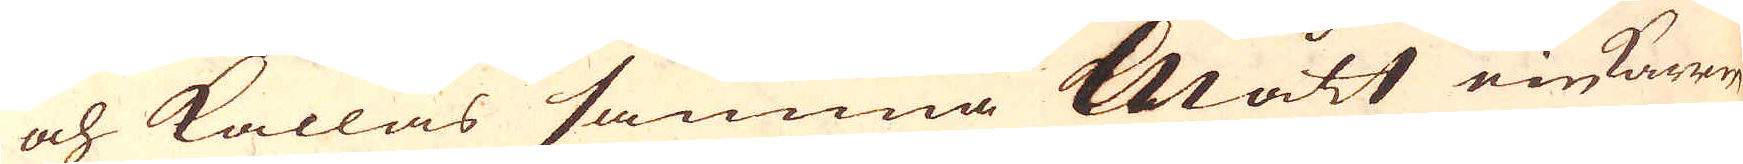och kallas samma Mått ein Karrm
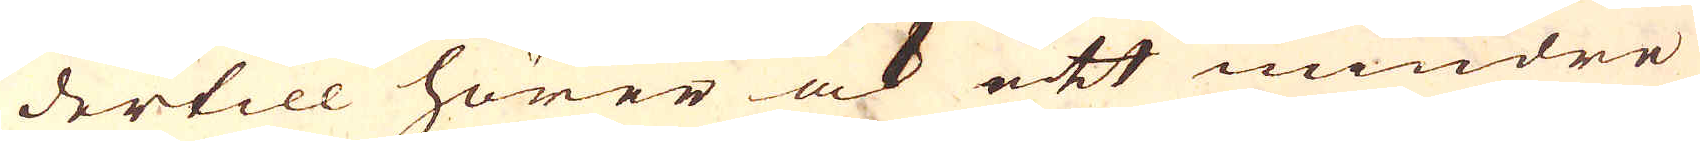dertill hörer ock ett mindre
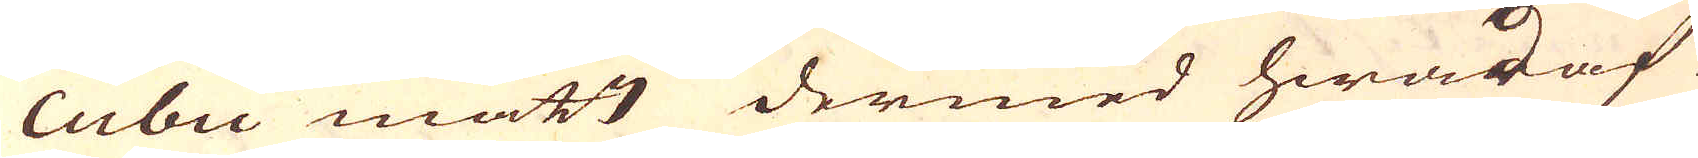cubii mått dermed hwad af
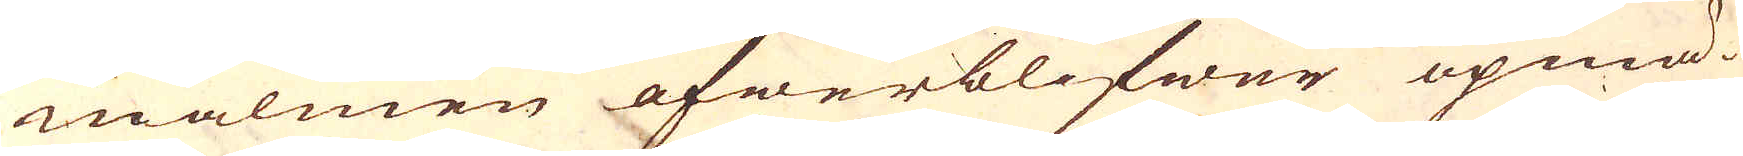malmen öfwerblifwer opmä-
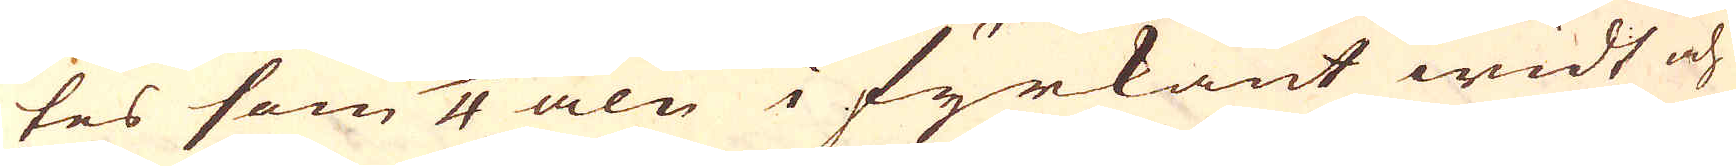tes som 3/4 aln i fyrkant widt och
